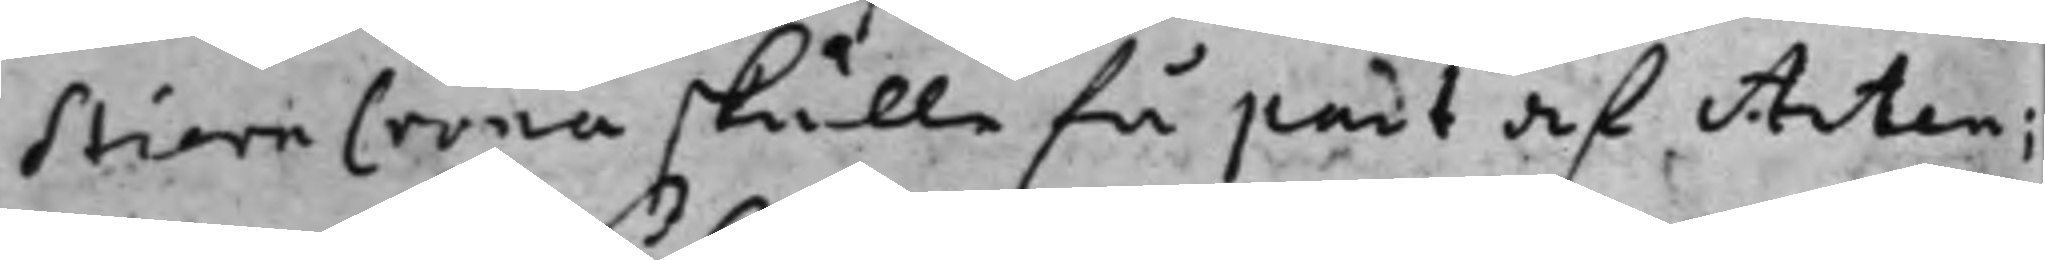StiernCrona skulle få part af Acten;
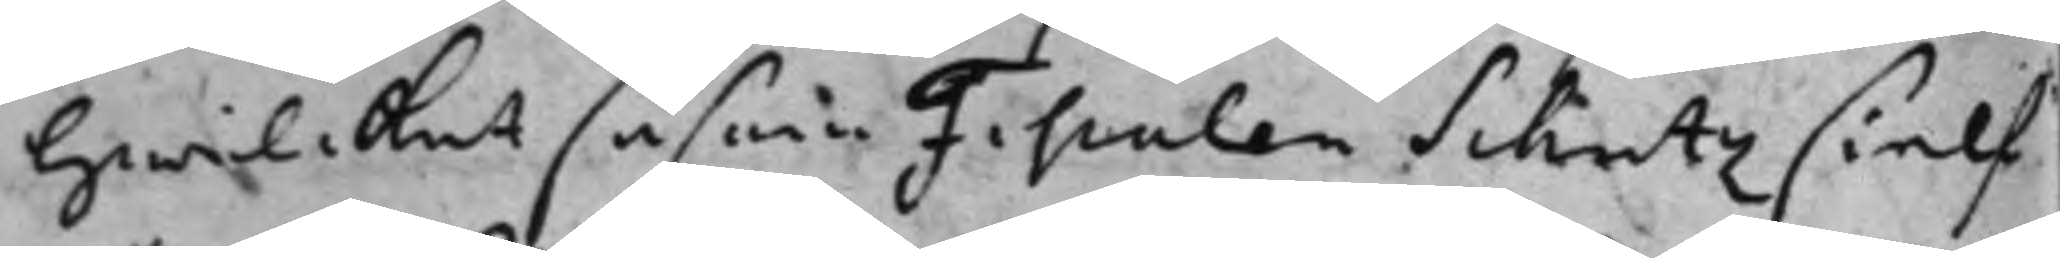hwilcket såsom Fiscalen Schutz sielf
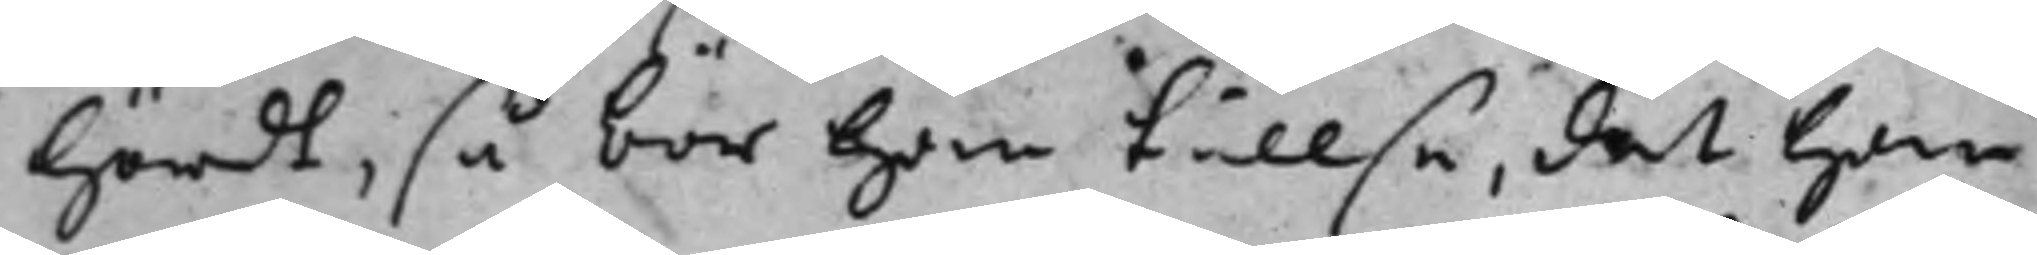hördt, så bör han tillse, det han
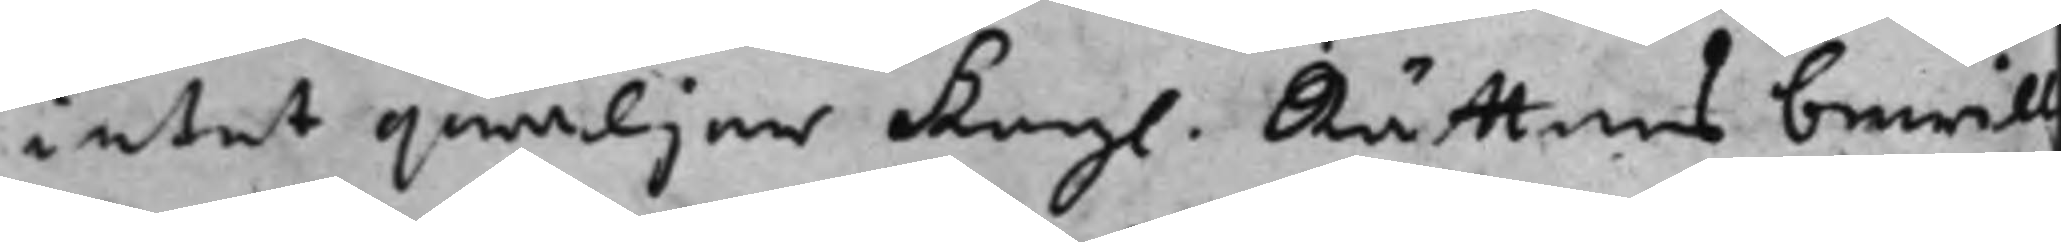intet qwäljer Kongl. Rättens bewill¬
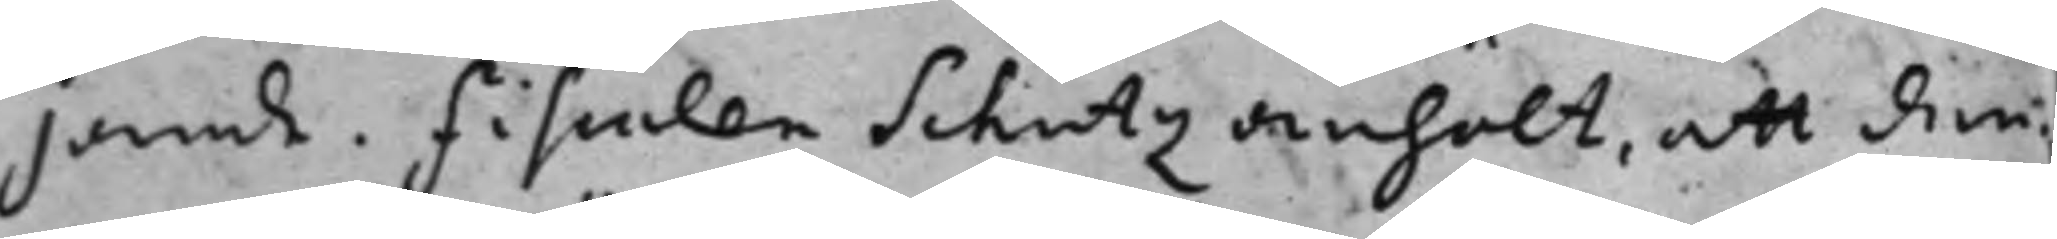jande. fiscalen Schutz anhölt, att den¬
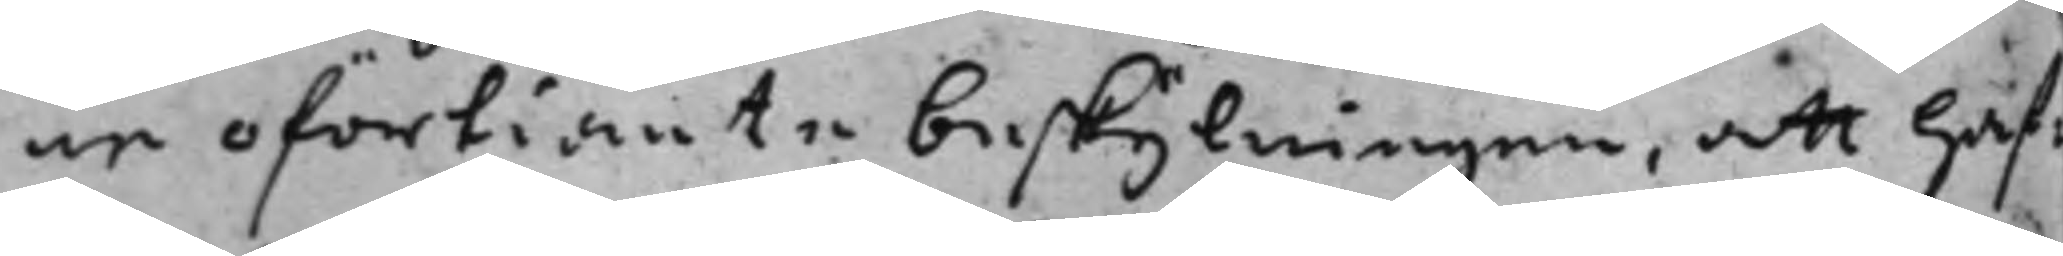ne oförtiänte beskylningen, att haf¬
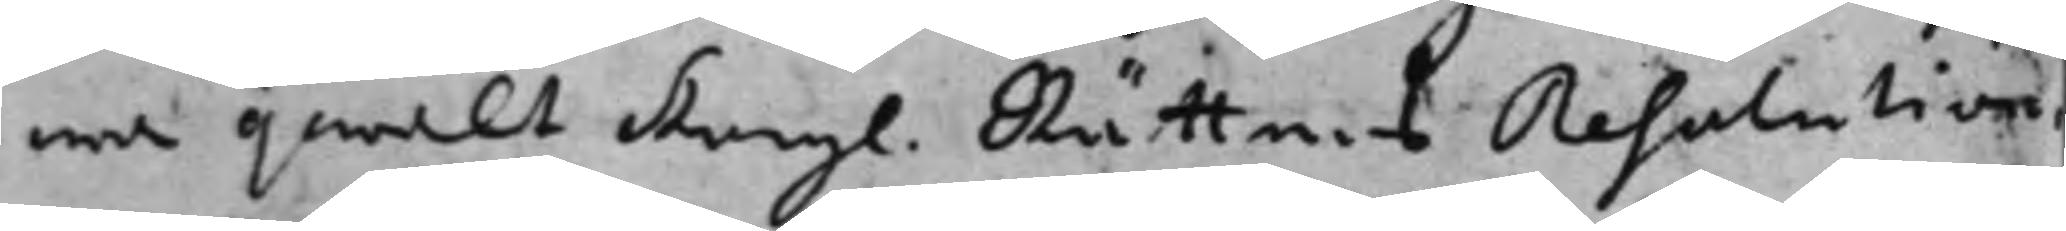wa qwalt Kongl. Rättens Resolution
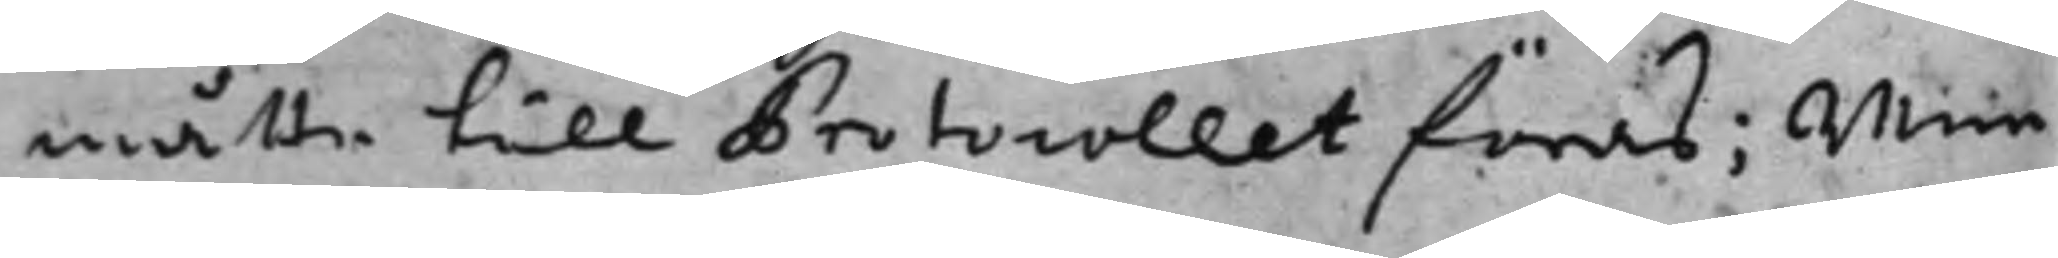måtte till Protocollet föras; Men
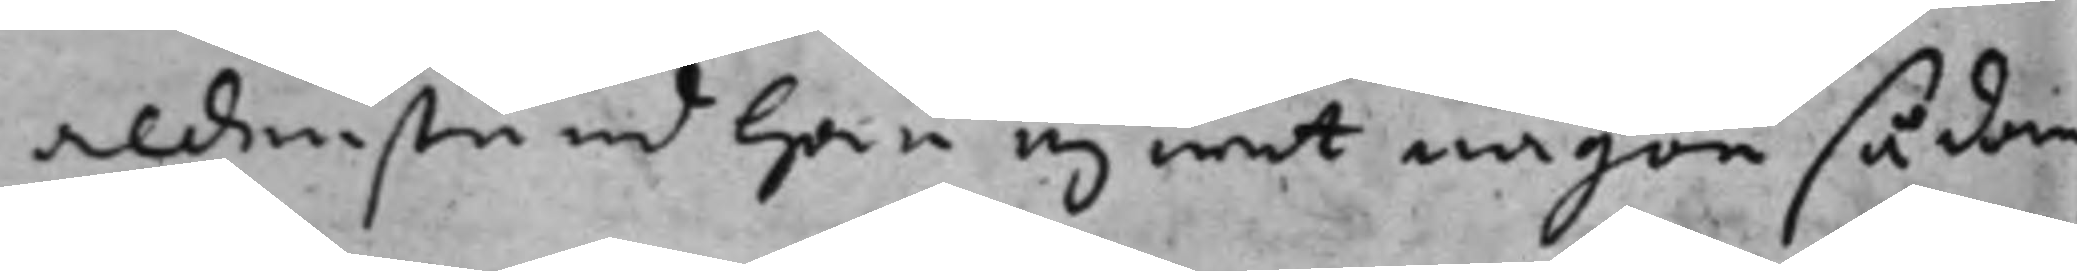aldenstund han ej wet någon sådan
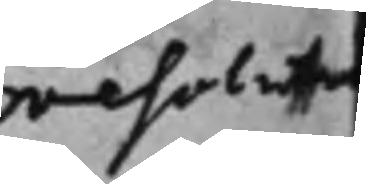resoluti
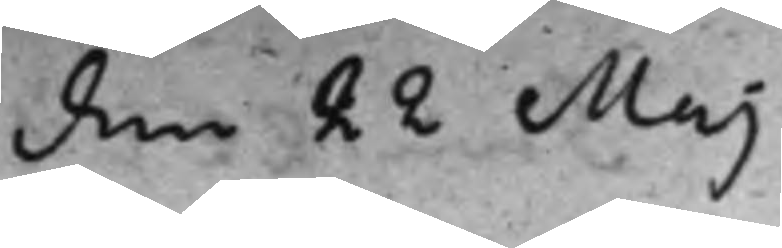den 22 Maj
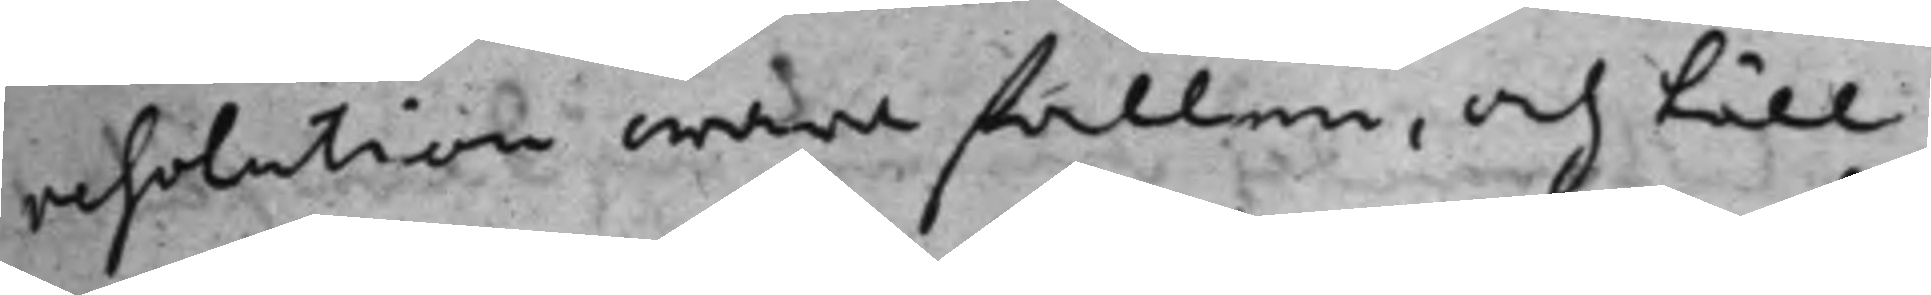resolution ware fallen, och till
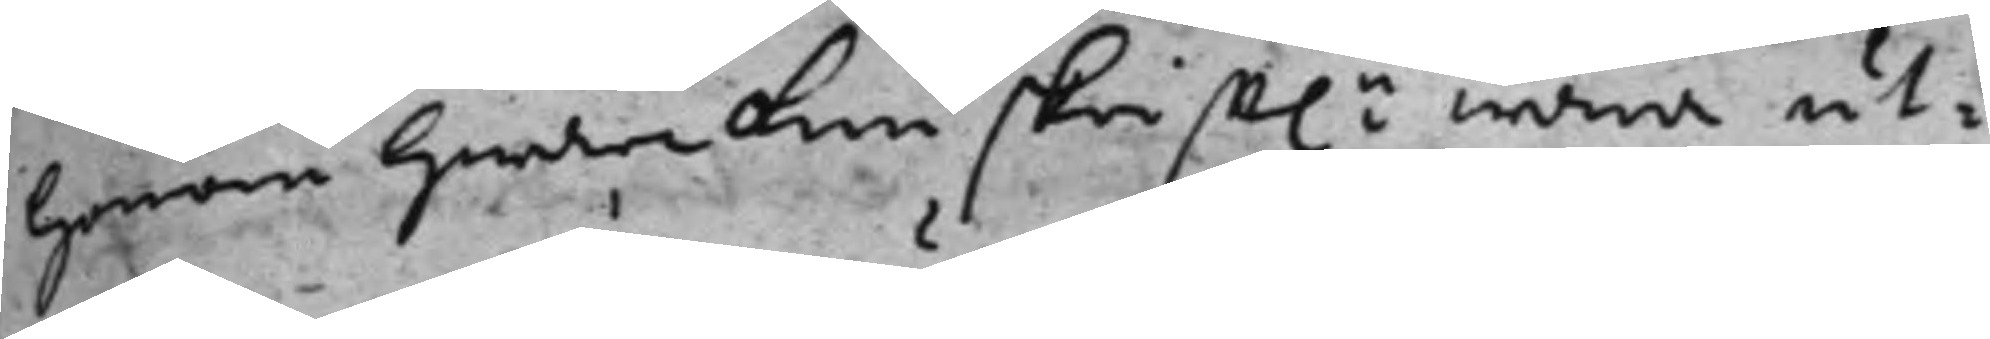honom hwarken skrifft.n wara ut¬
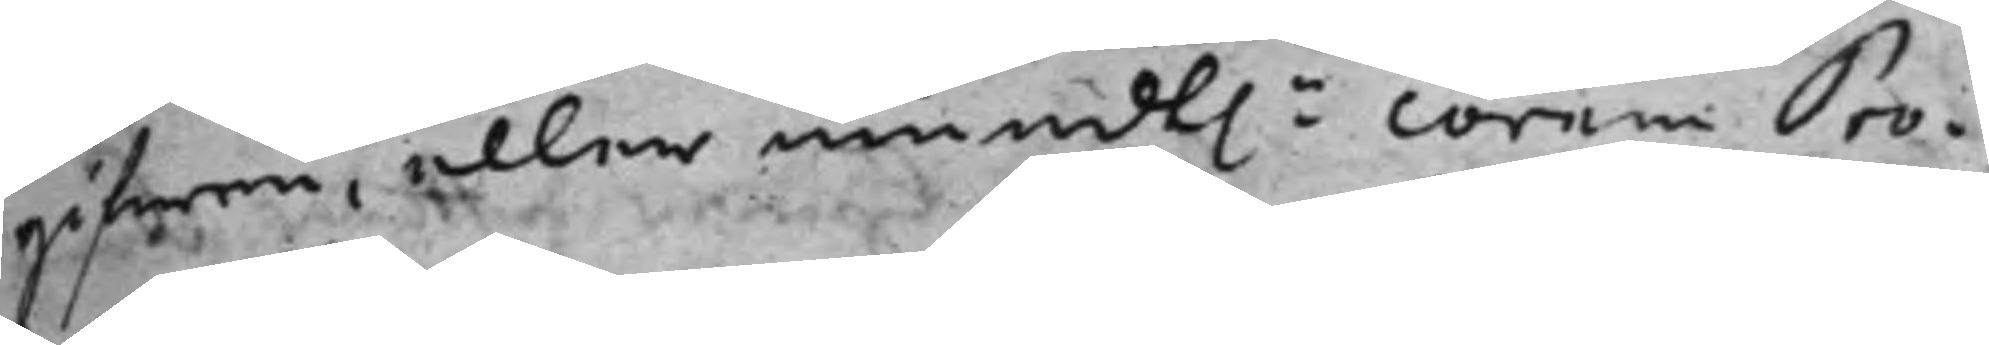gifwen, eller mundt.n corem Pro¬
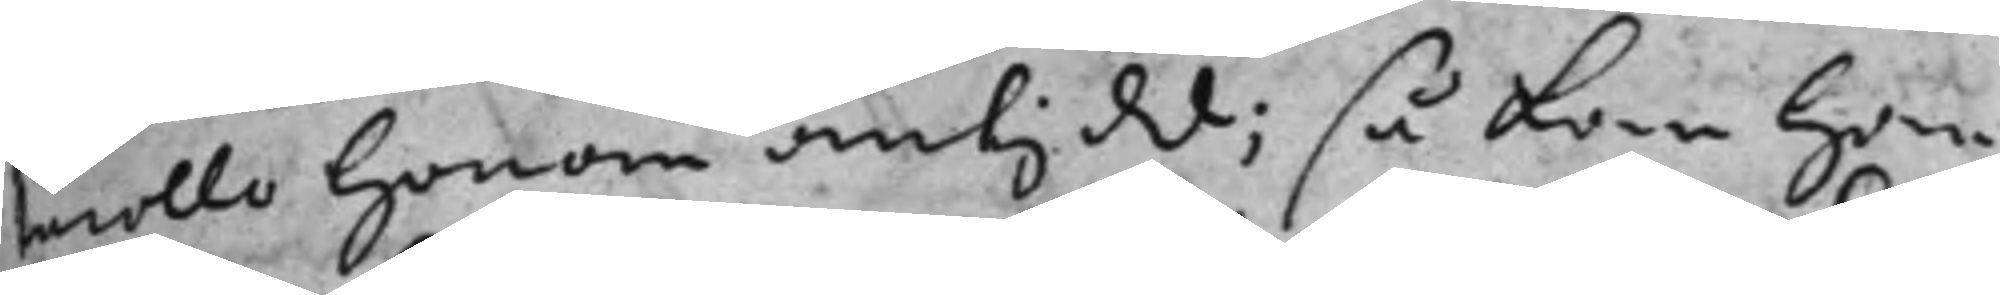tecollo honom antydt ; så kan han
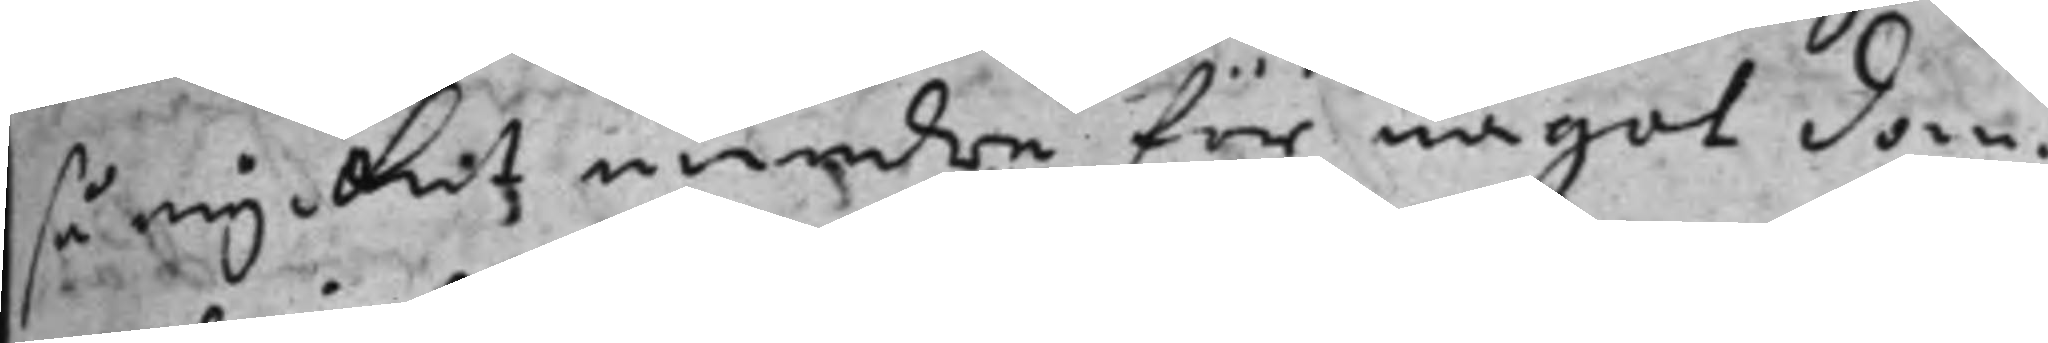så mycket mindre för något dom¬
